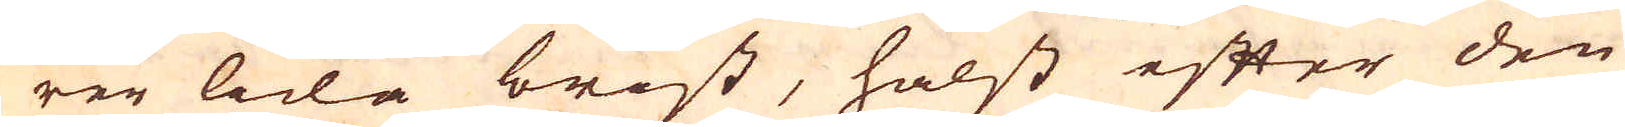rer lida brist, hälst efter den
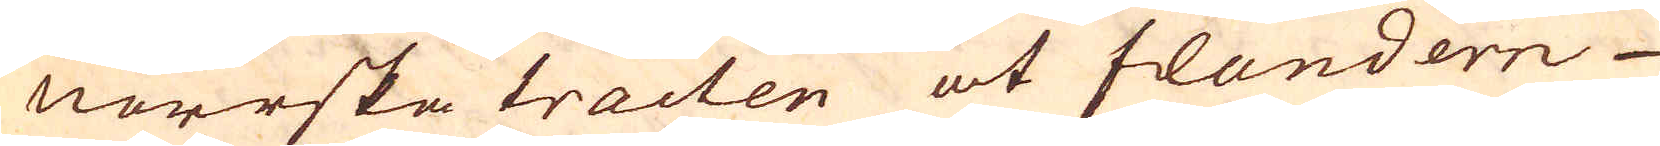Norrska tracten åt Flandern
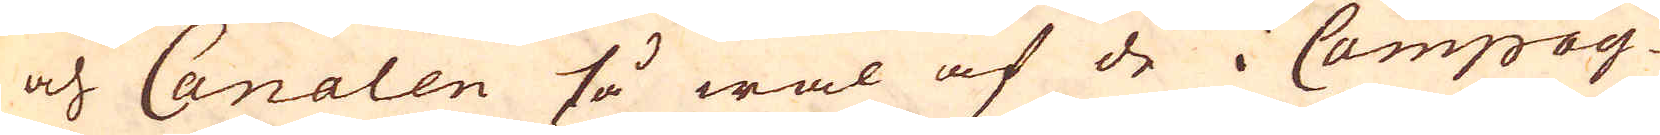och Canalen så wäl af de i Campag-
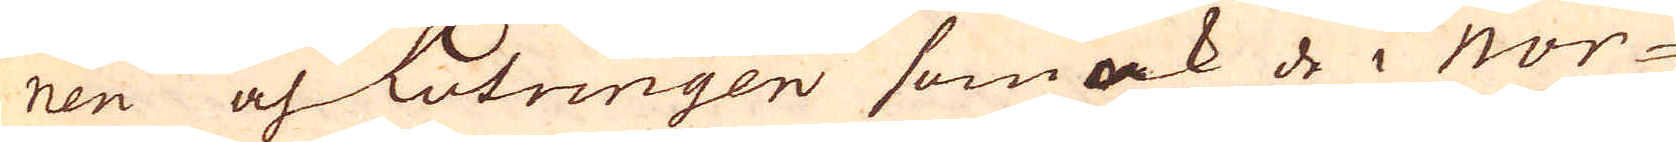nen och Lotringen som ock de i Nor-
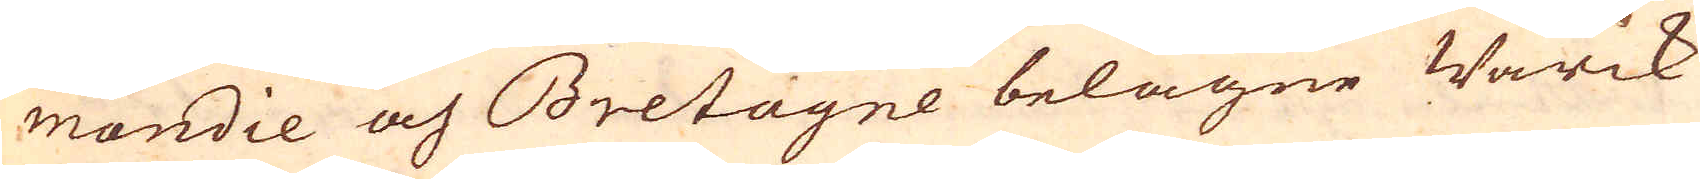mandie och Bretagne belägne Wärck
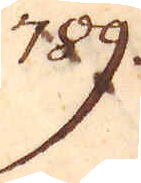789.
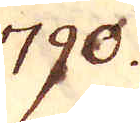790.
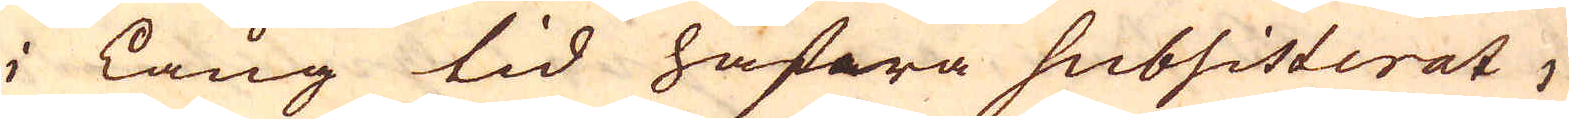i lång tid hafwra subsisterat,
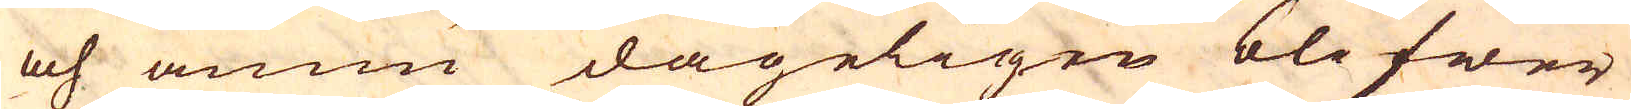och ännu dageligen blifwer
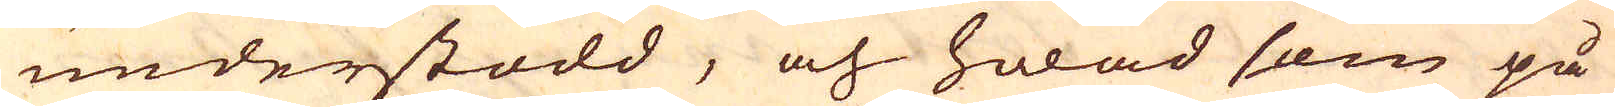understödd, och hwad som på
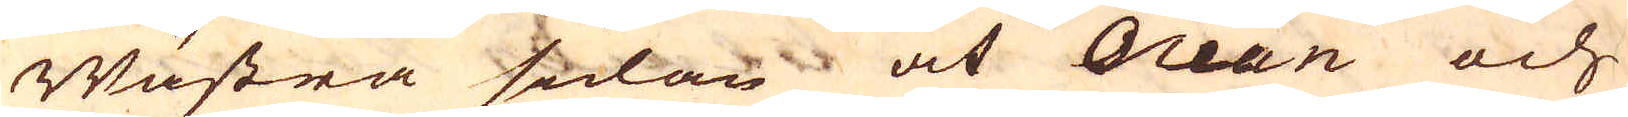Wästra sidan åt Ocean och
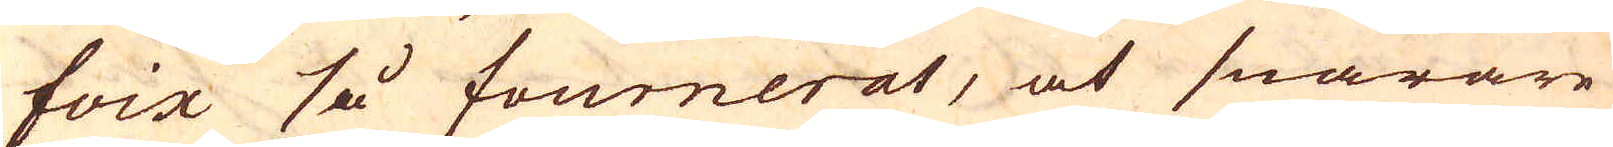Foix så fourneras, at snarare
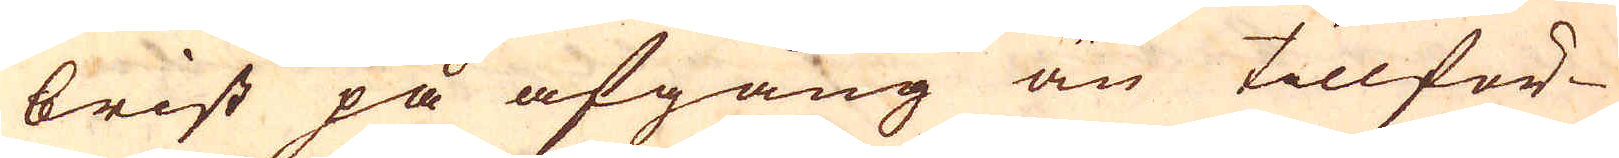brist på afgång än tillför-
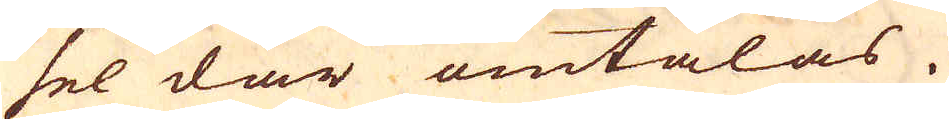sel där omtalas.
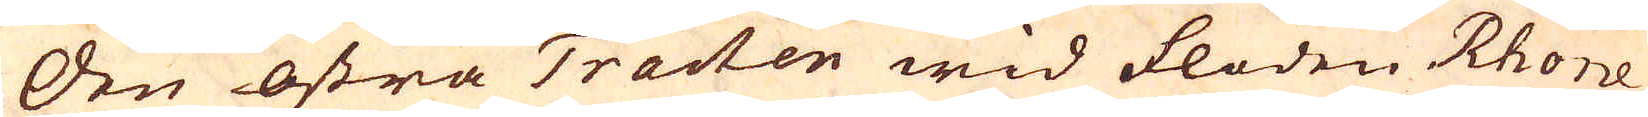Den östra Tracten wid floden Rhone
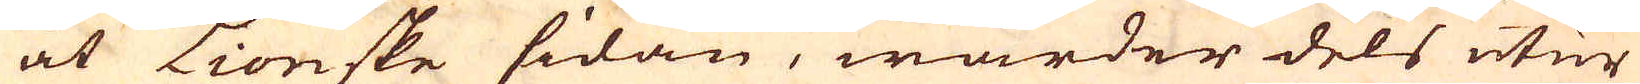åt Lionske sidan, warder dels utur
